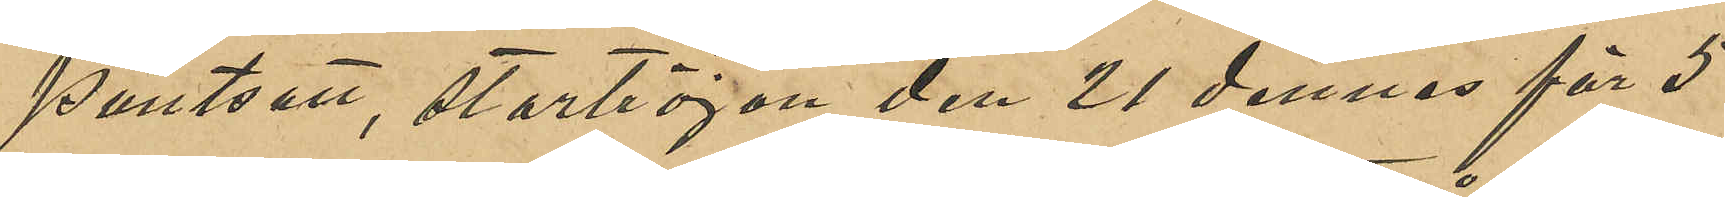pantsatt, stortröjan den 21 dennes för 5
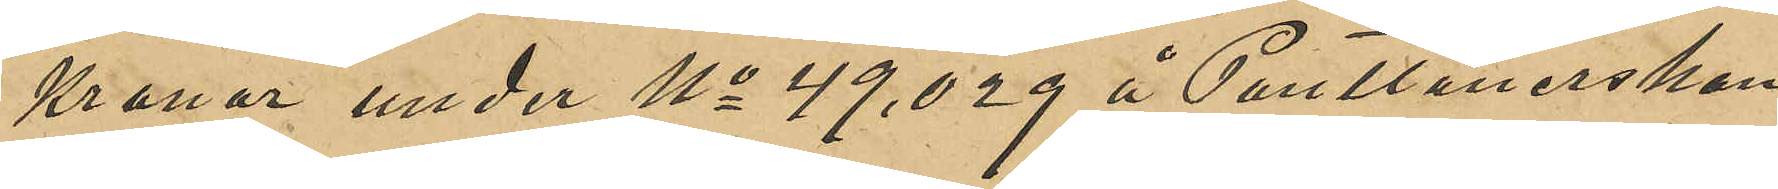Kronor under No 49,029 å Pantlånerskan
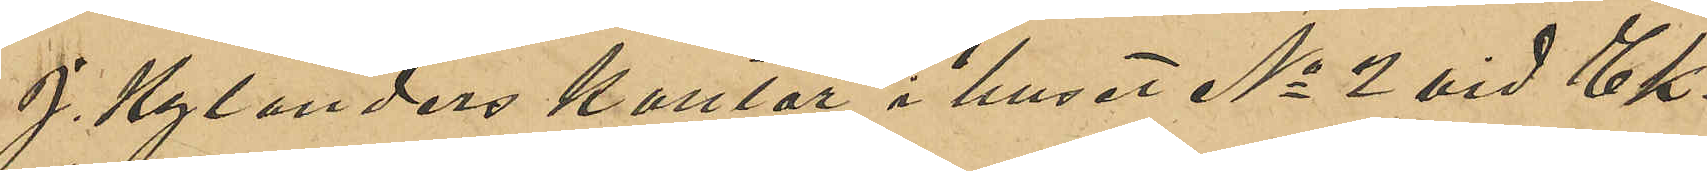J. Kylanders kontor i huset No 2 vid Ek¬
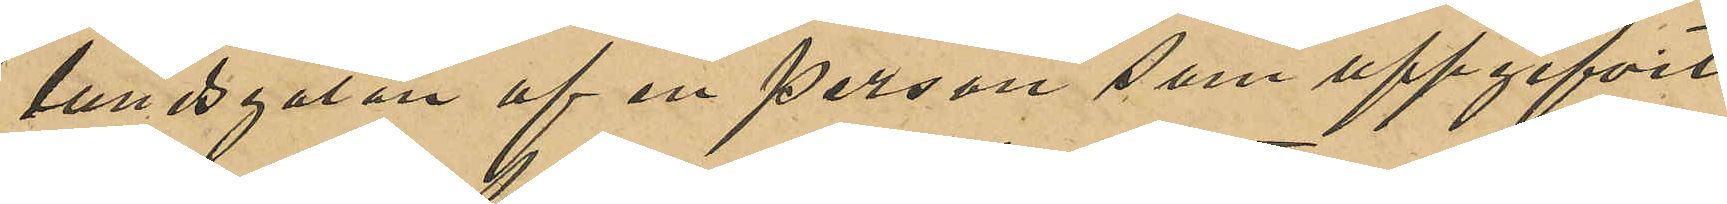lundsgatan af en person som uppgifvit
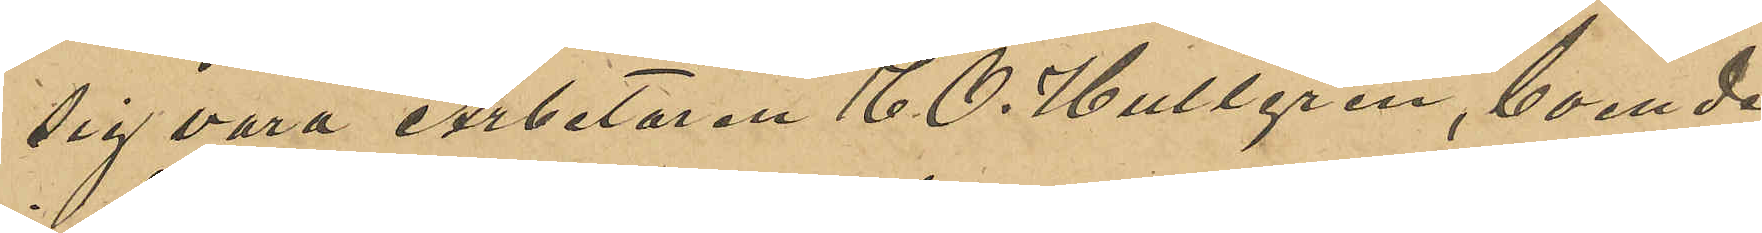sig vara Arbetaren E. O. Hultgren, boende
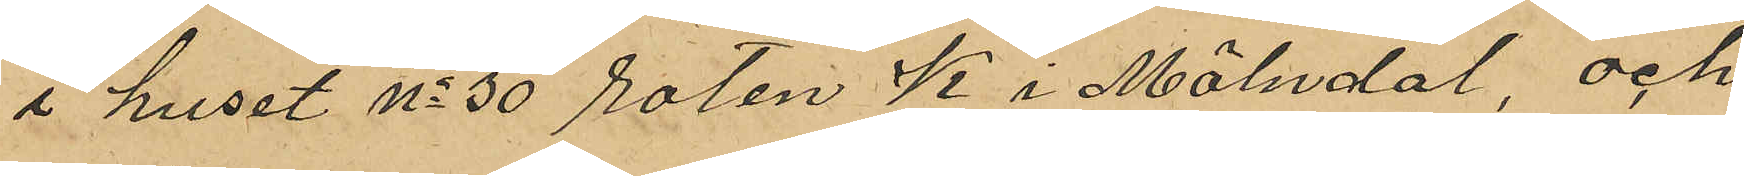i huset No 30 roten K i Mölndal, och
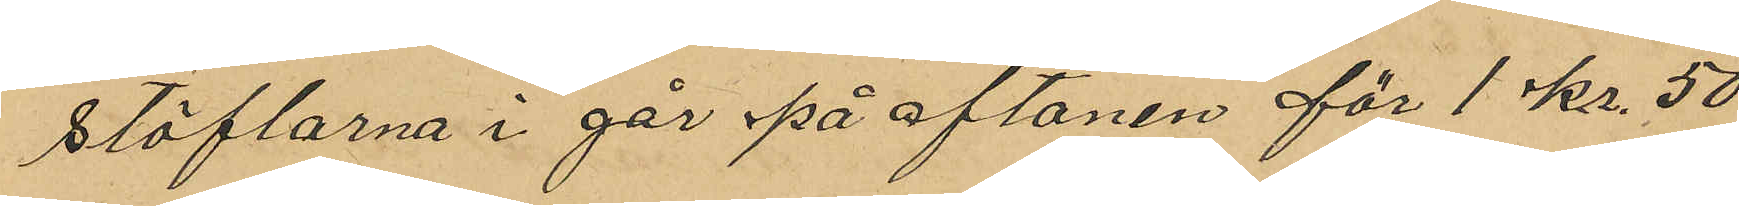stöflarna i går på aftonen för 1 kr. 50
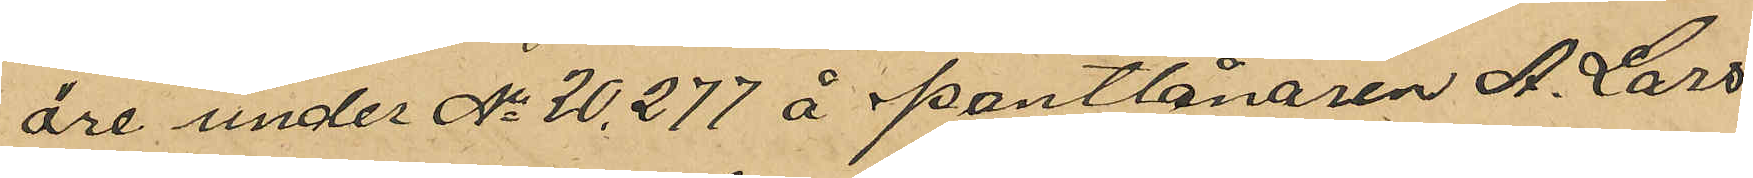öre under No 20,277 å pantlånaren A. Lars¬
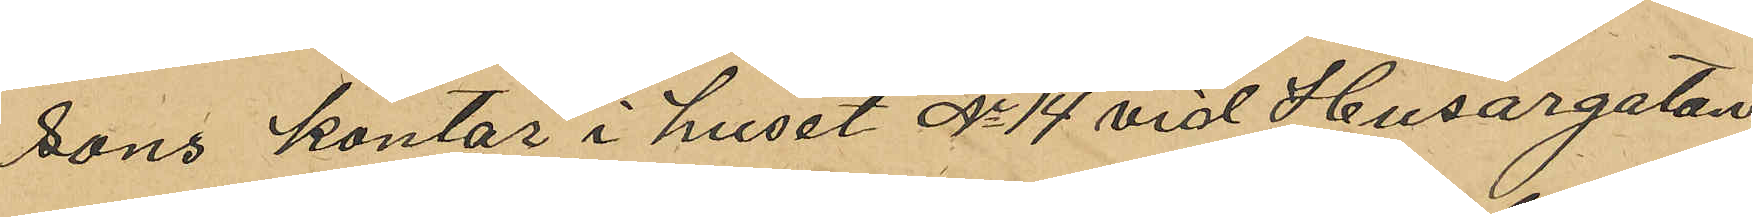sons kontor i huset No 14 vid Husargatan
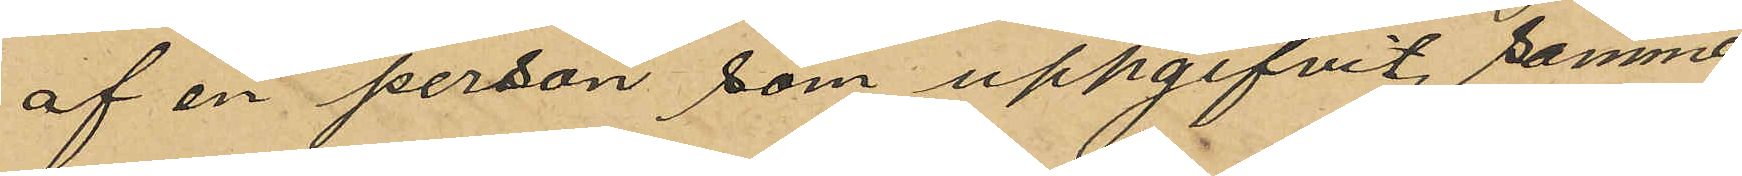af en person som uppgifvit samma
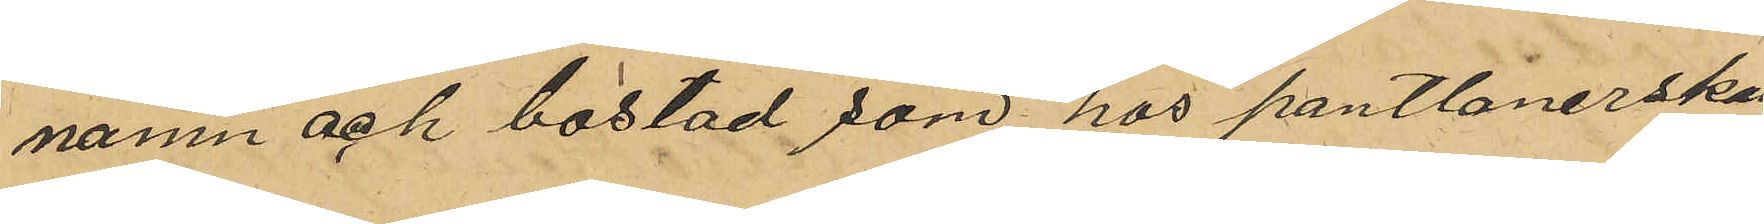namn och bostad som hos pantlånerskan
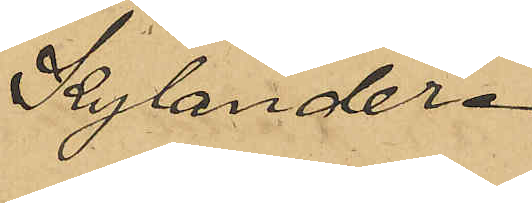Kylander.
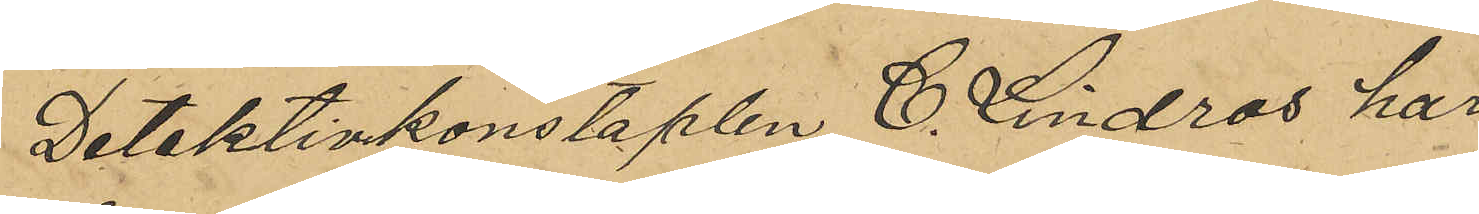Detektivkonstaplen C. Lindros har
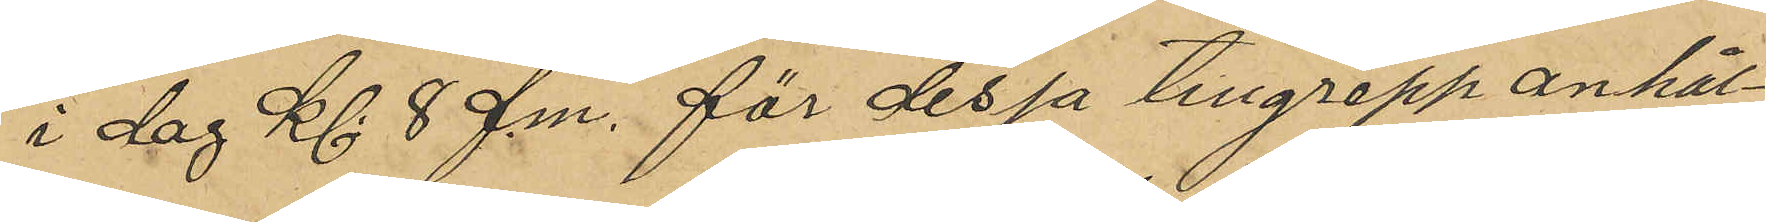i dag Kl 8 f.m. för dessa tillgrepp anhål¬
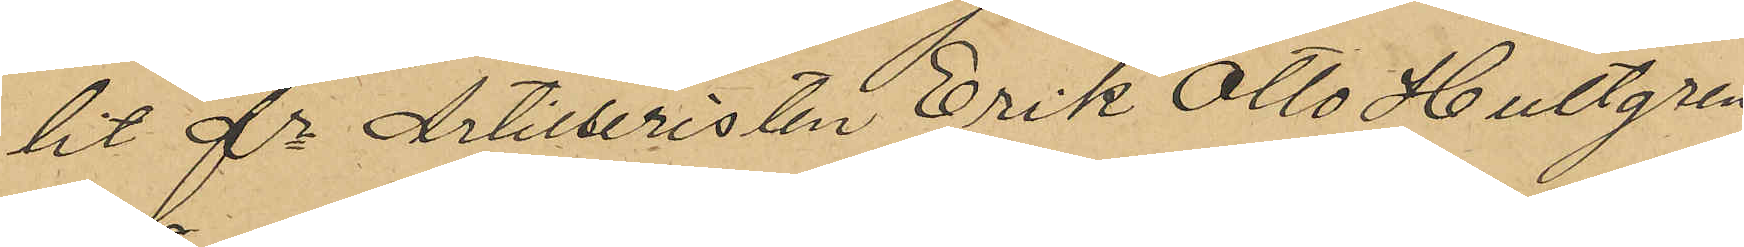lit fe Artilleristen Erik Otto Hultgren
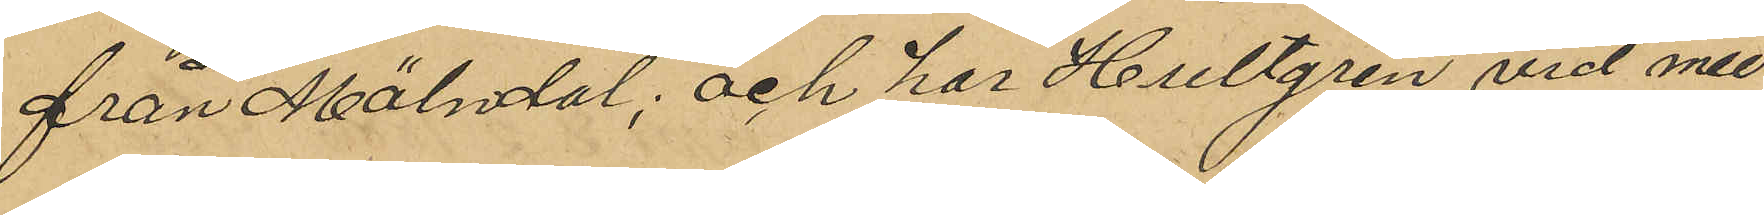från Mölndal, och har Hultgren vid med 
